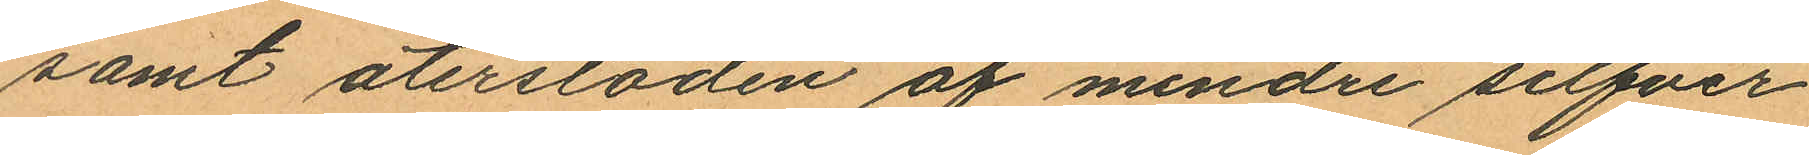samt återstoden af mindre silfver
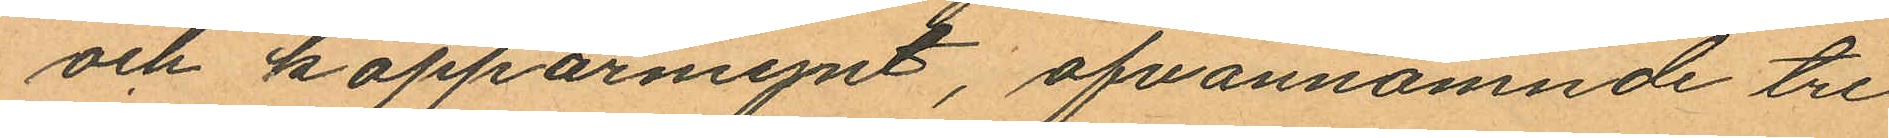och kopparmynt, ofvannämnde tre
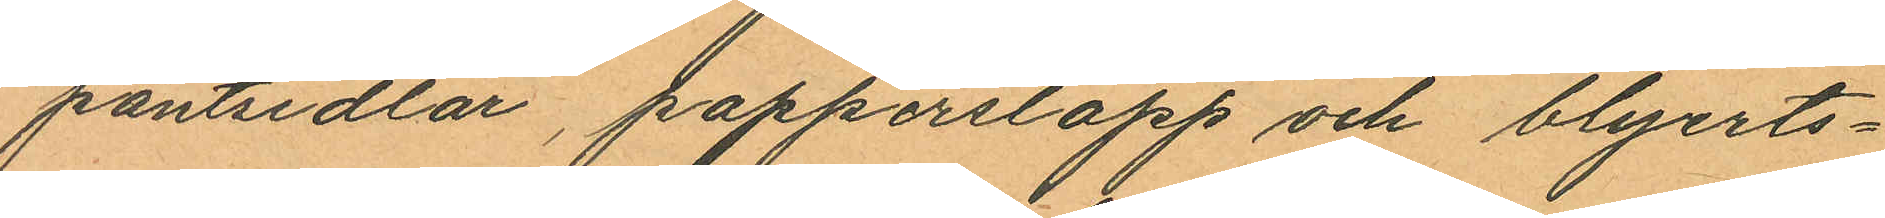pantsedlar, papperslapp och blyerts¬
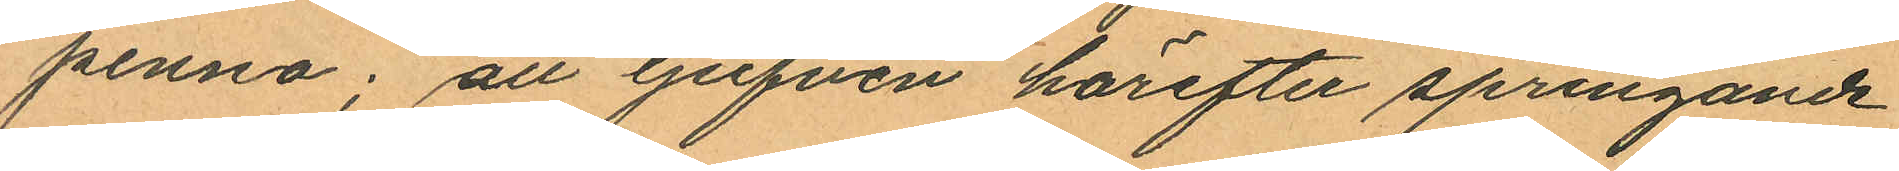penna; att tjufven härefter springande
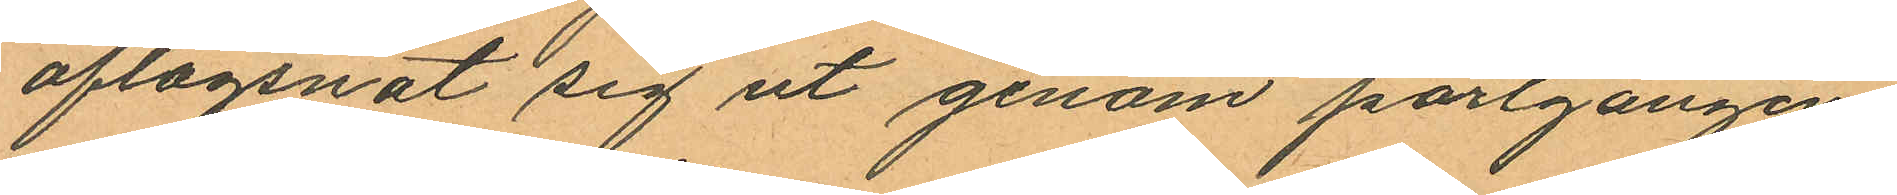aflägsnat sig ut genom portgången
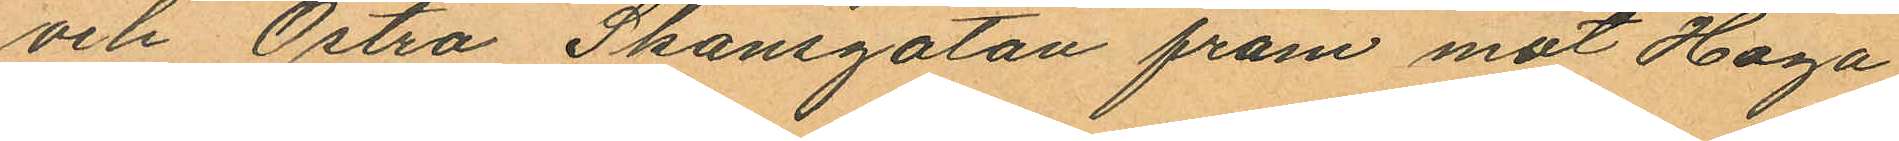och Östra Skansgatan fram mot Haga
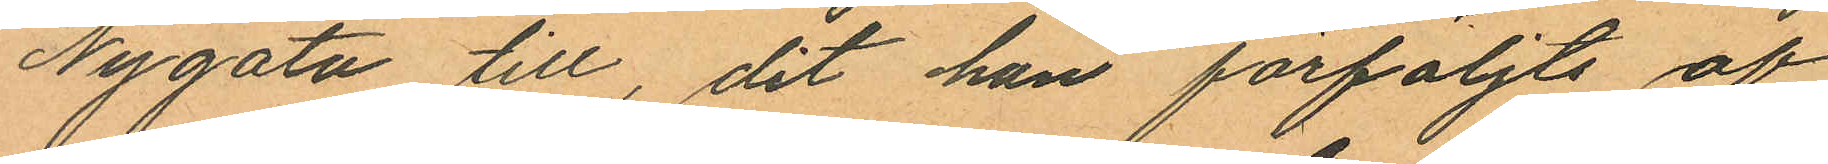Nygata till, dit han förföljts af
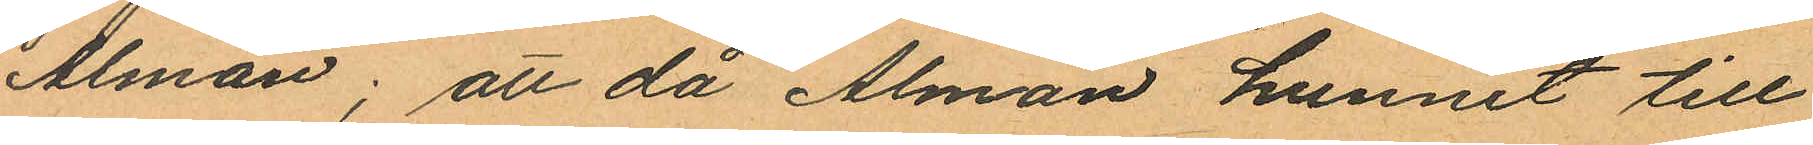Alman; att då Alman hunnit till
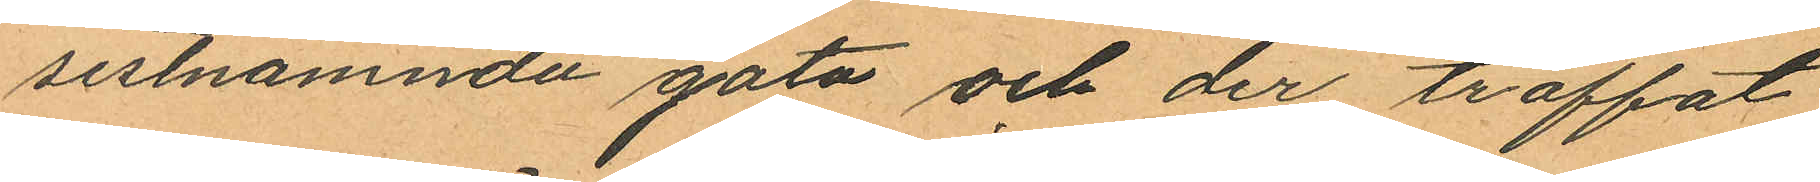sistnämnda gata och der träffat
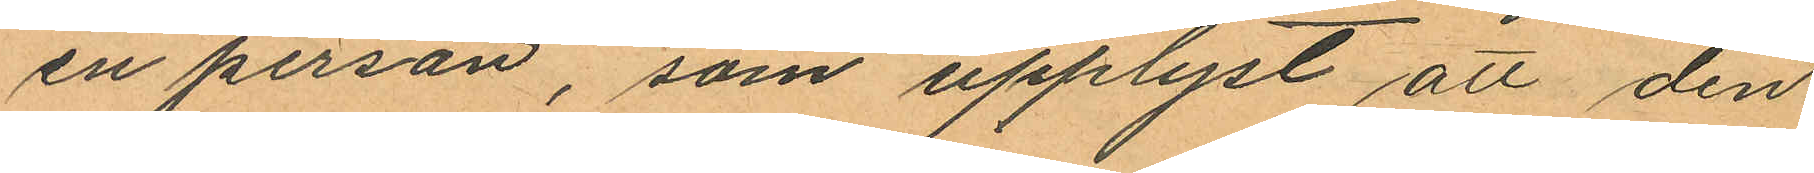en person, som upplyst att den
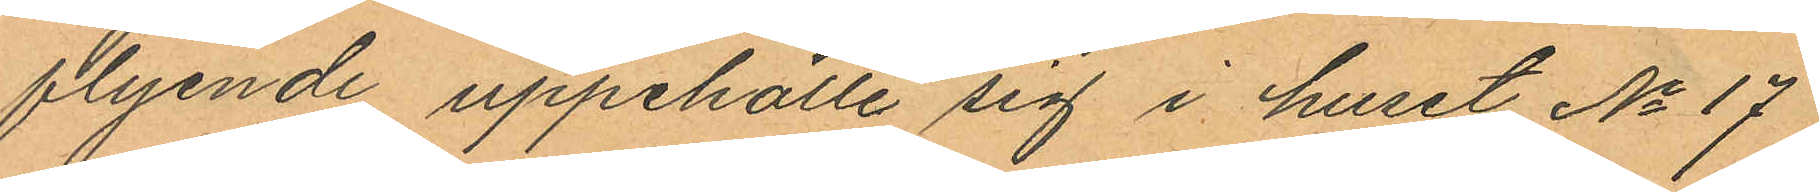flyende uppehölle sig i huset No 17
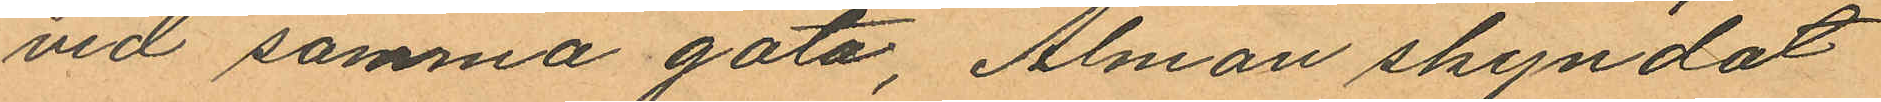vid samma gata, Alman skyndat
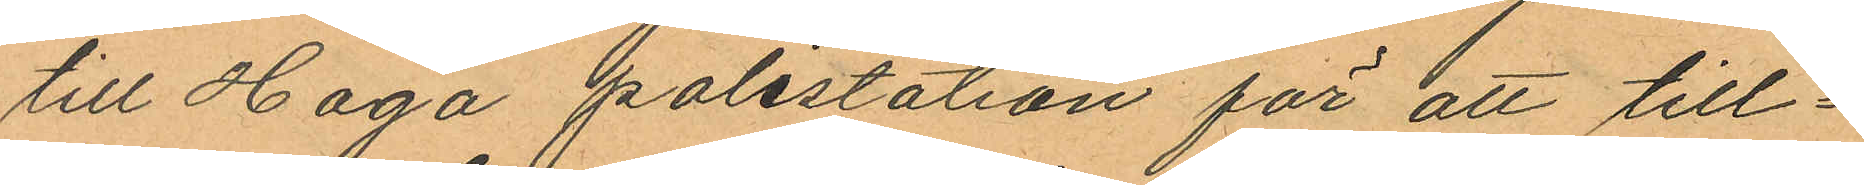till Haga polisstation för att till¬
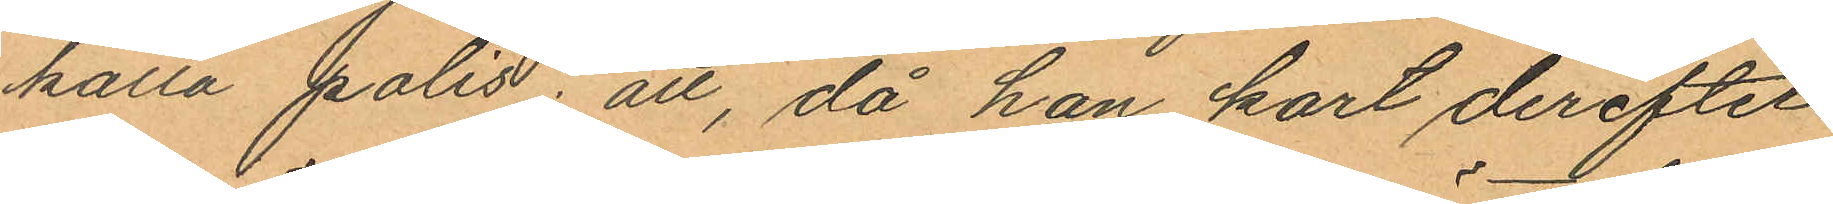kalla polis; att, då han kort derefter
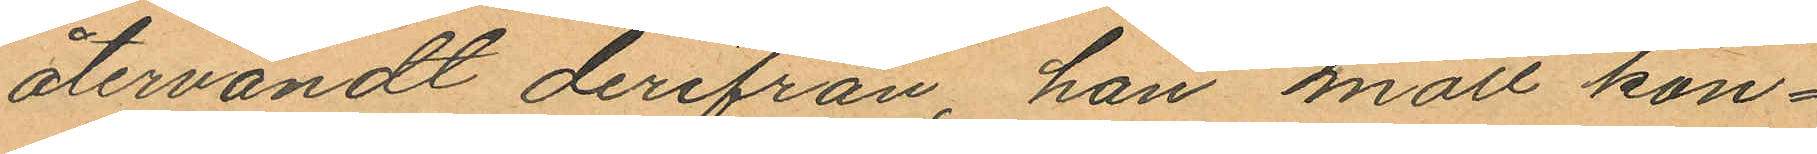återvändt derifrån, han mött kon¬
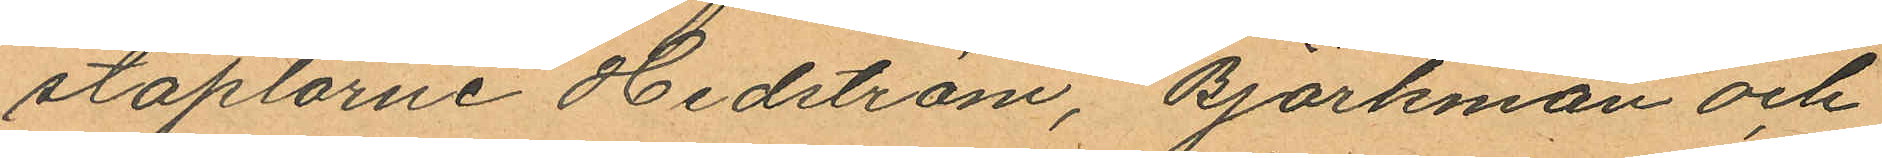staplarne Hedström, Björkman och
